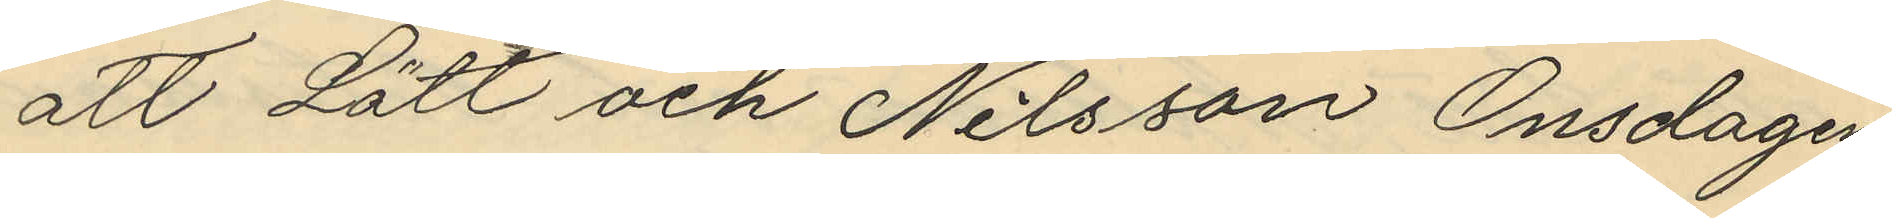att Lätt och Nilsson Onsdagen
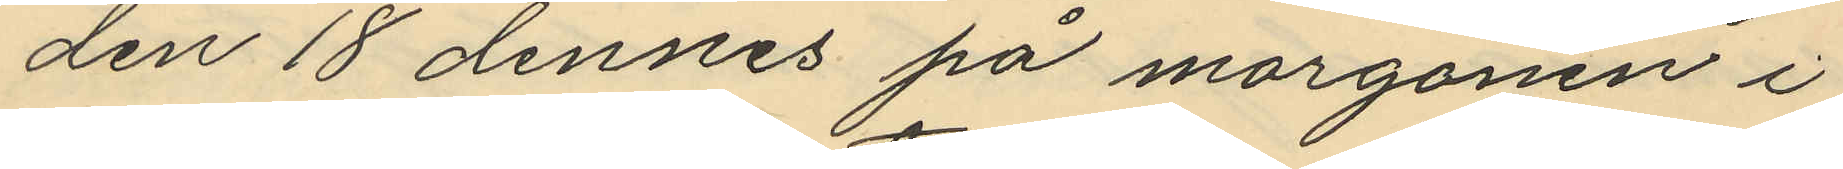den 18 dennes på morgonen i
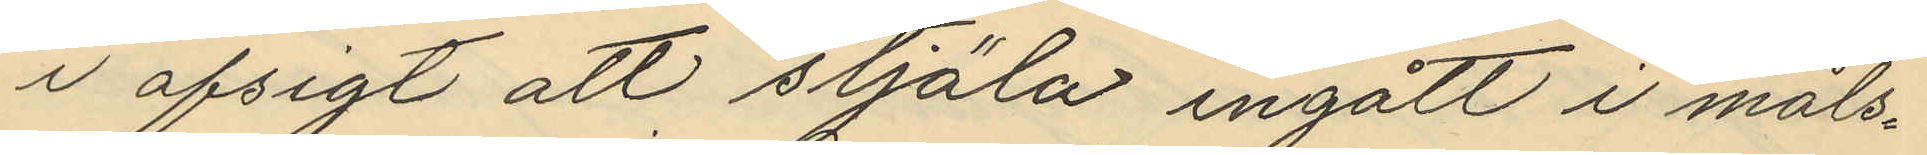i afsigt att stjäla ingått i måls¬
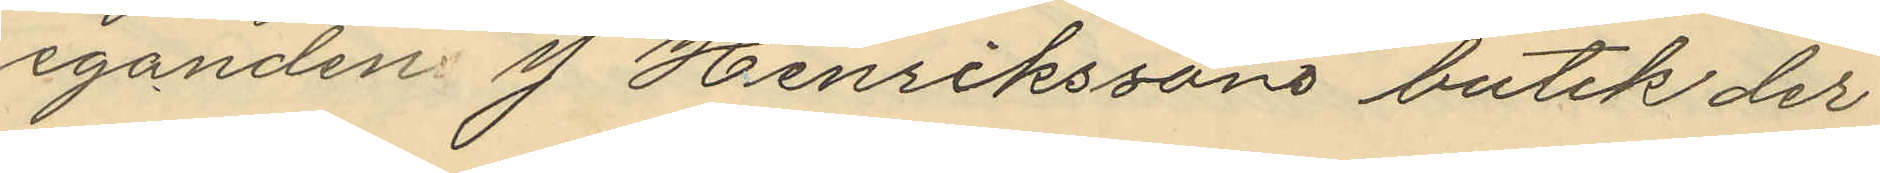eganden J. Henrikssons butik der
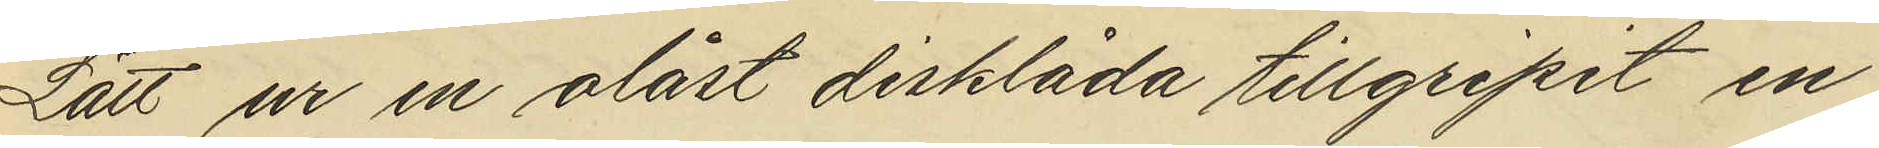Lätt ur en olåst disklåda tillgripit en
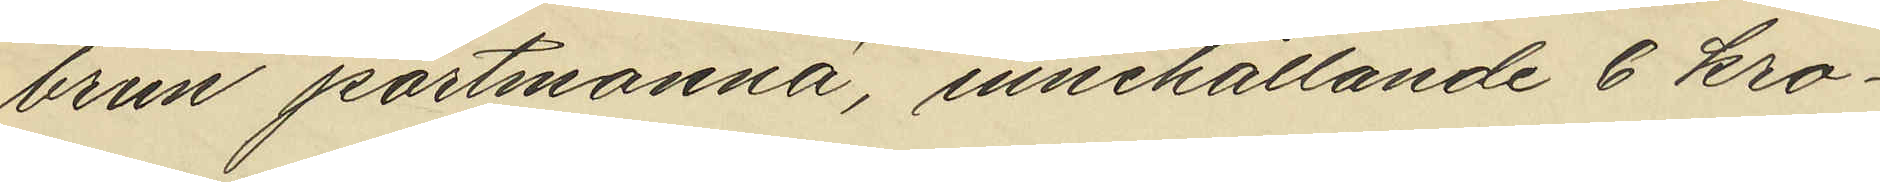brun portmonnä, innehållande 6 kro¬
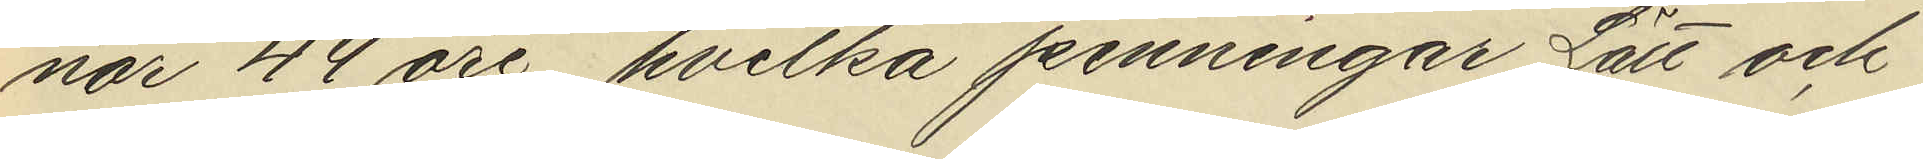nor 44 öre, hvilka penningar Lätt och
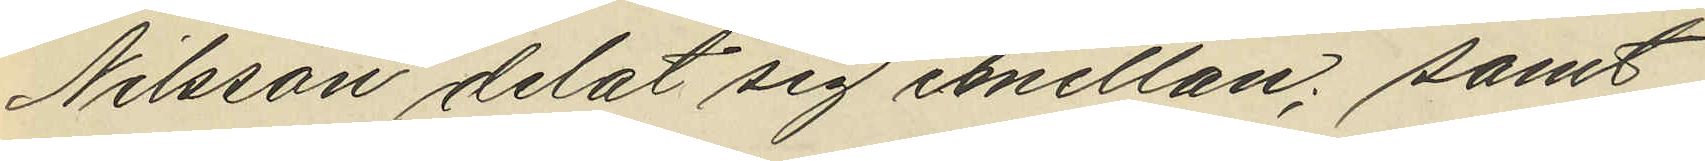Nilsson delat sig emellan; samt
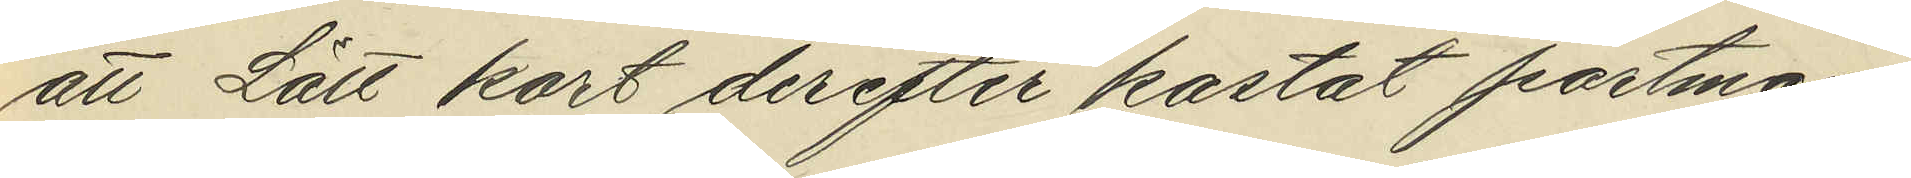att Lätt kort derefter kastat portmon¬
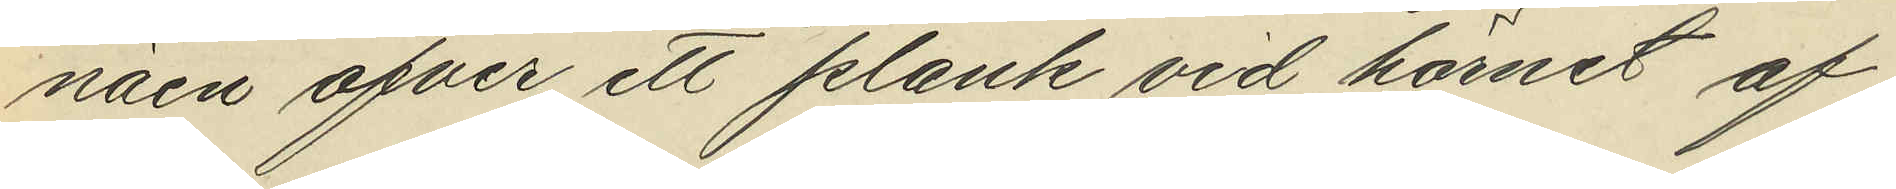näen öfver ett plank vid hörnet af
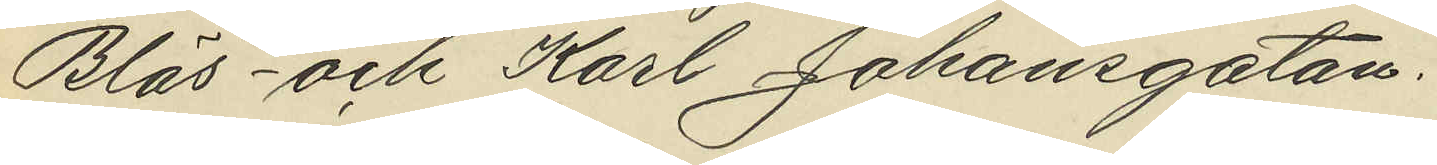Bläs- och Karl Johansgatan.
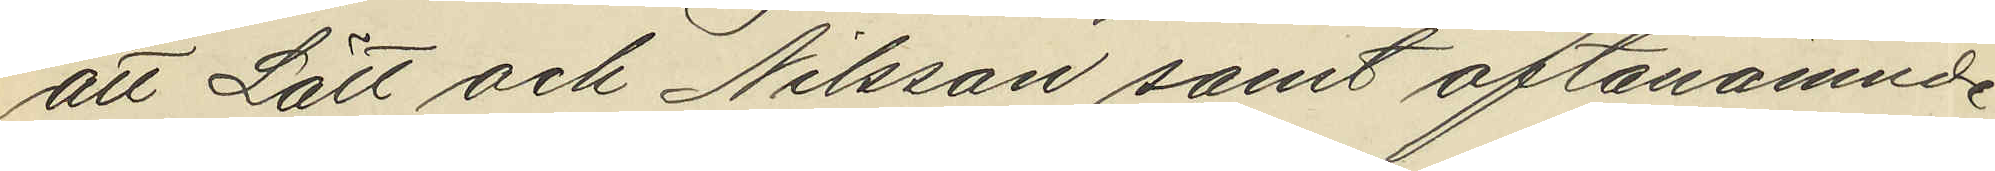att Lätt och Nilsson samt oftanämnde
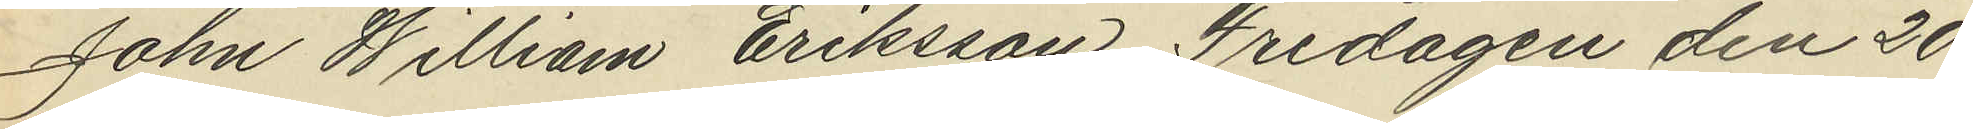John Willsam Eriksson Fredagen den 20
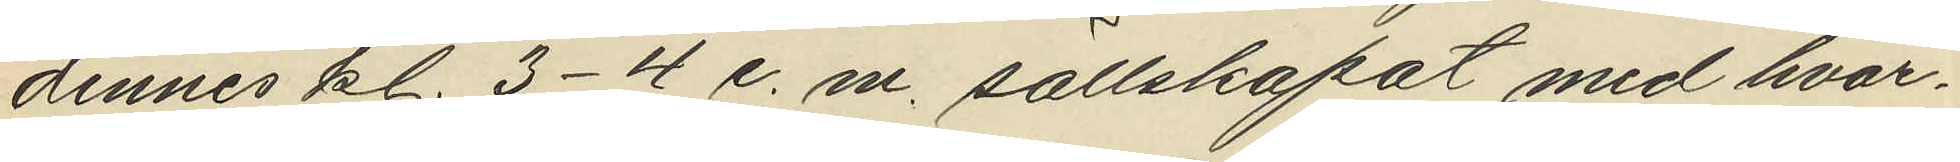dennes kl. 3-4 e. m. sällskapat med hvar¬
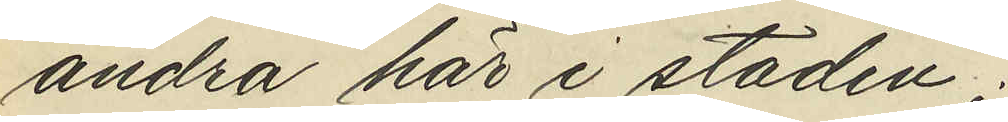andra här i staden.
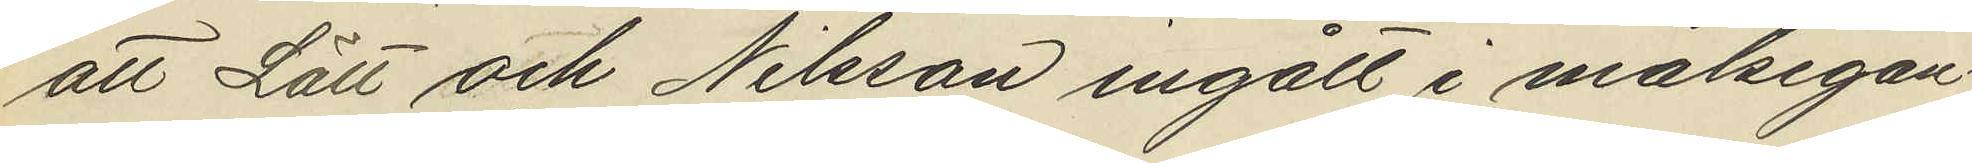att Lätt och Nilsson ingått i målsegan¬
